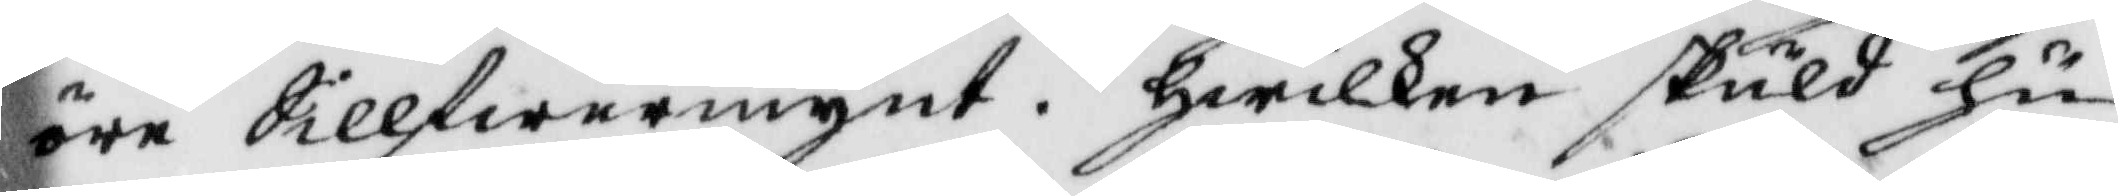öre Sillfwermynt. hwilken skuld hu¬
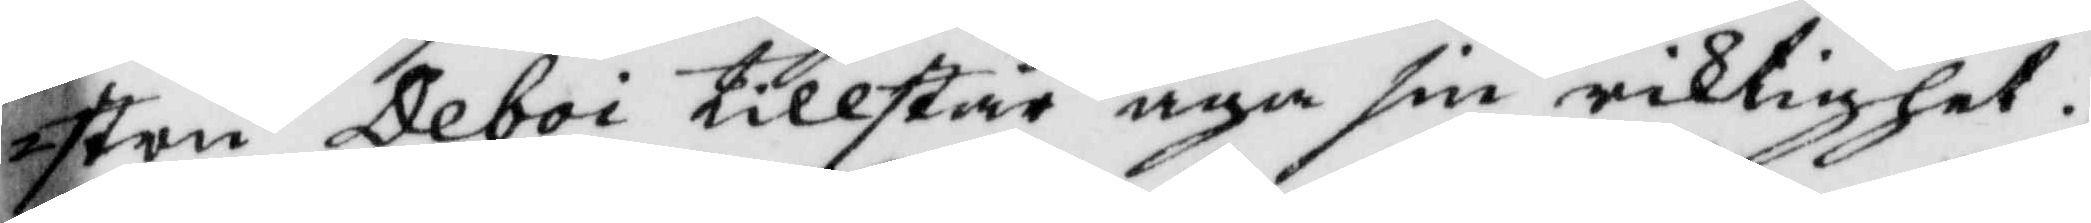stru Deboi tillstår äga sin riktighet.
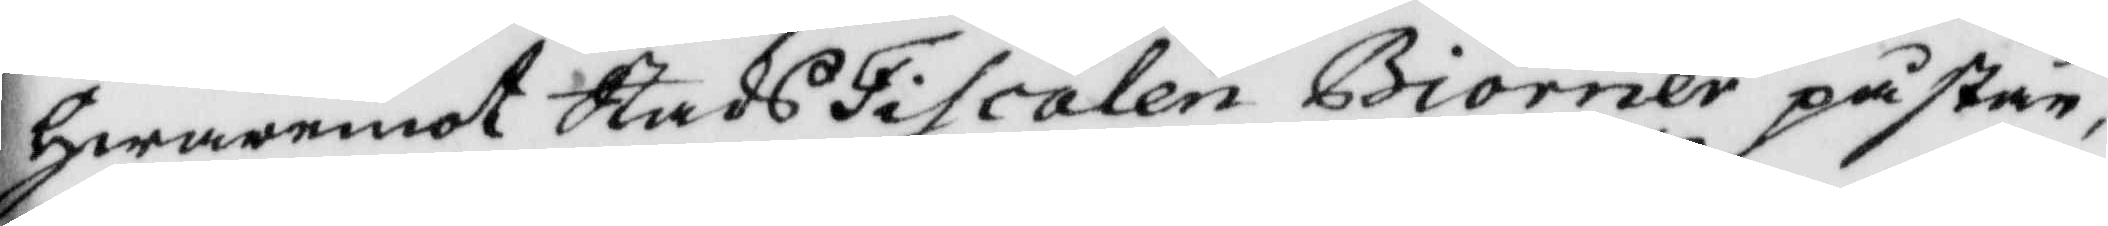hwaremot StadsFiscalen Biörner påstår,
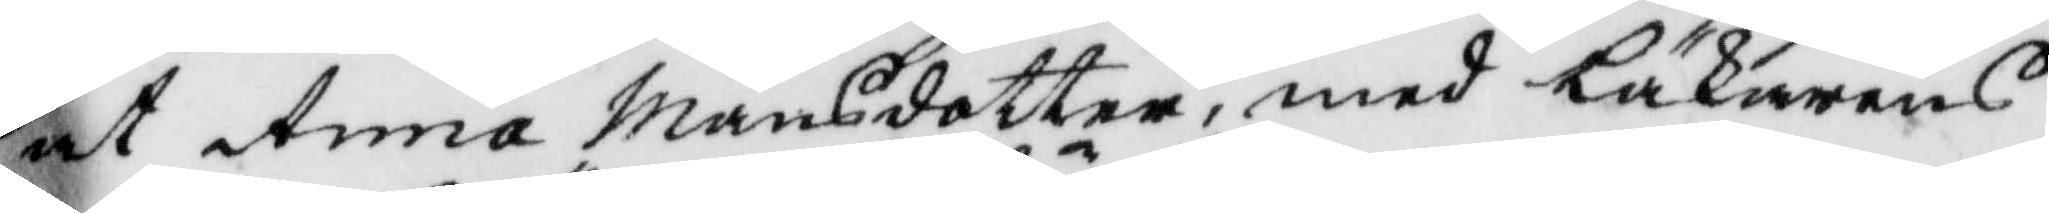at Anna Månsdotter, med Läkarens
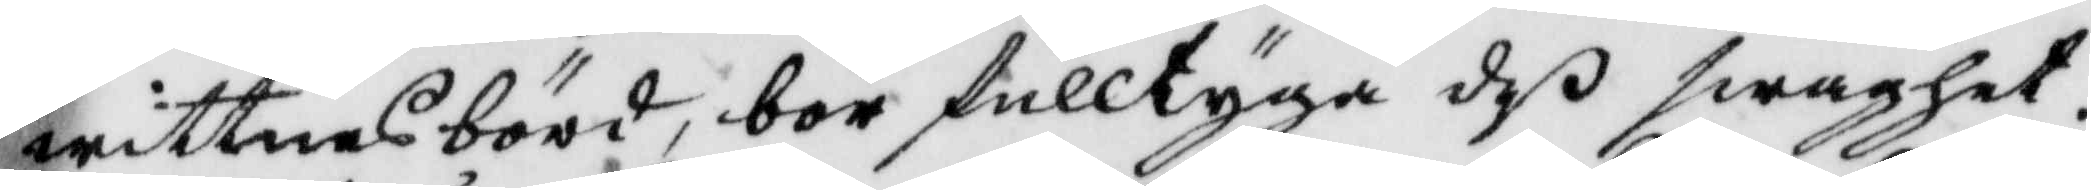wittnesbörd, bör fulltyga deß swaghet.
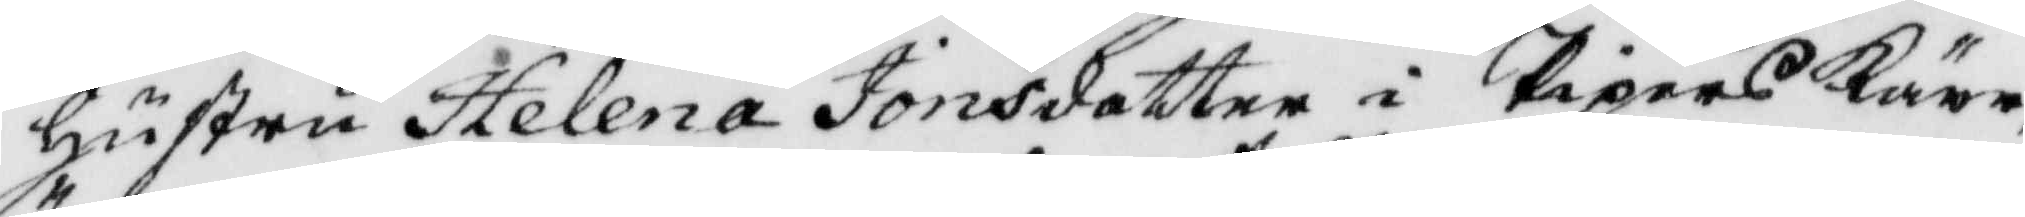Hustru Helena Jonsdotter i PipersKärr
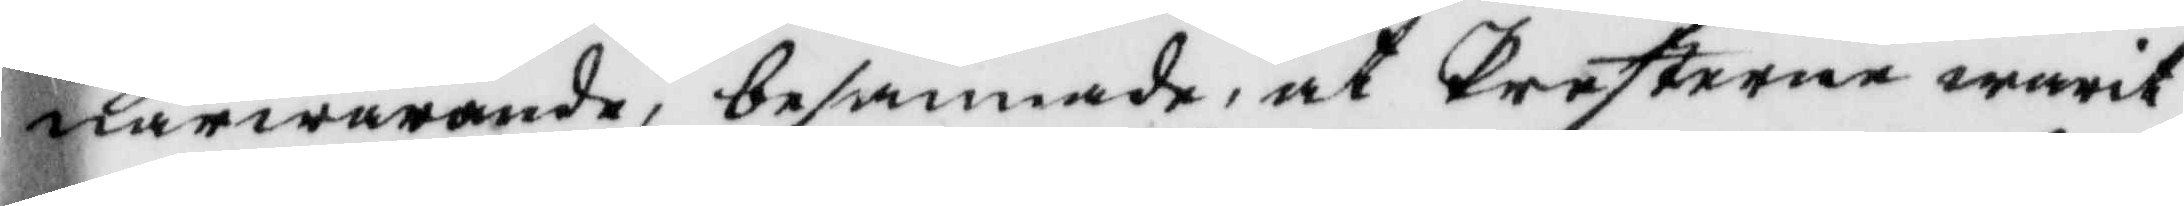närwarande, besannade, at Presterne warit
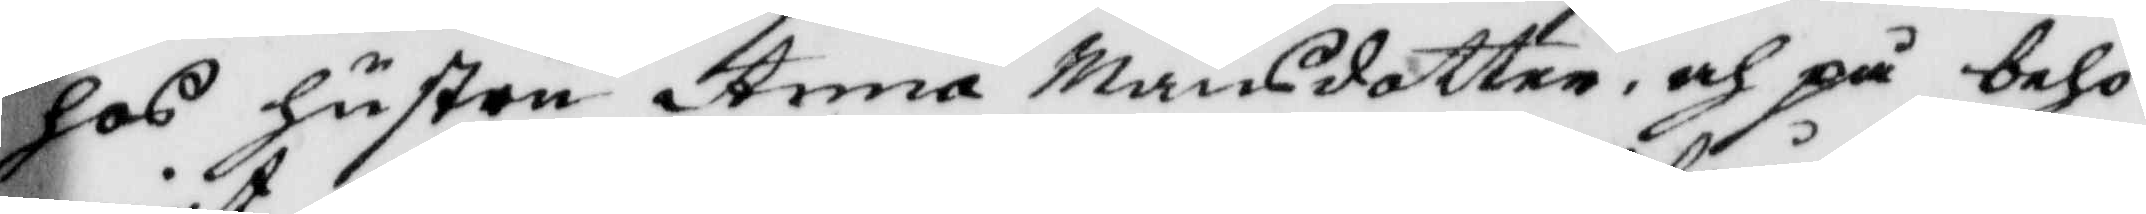hoß hustru Anna Månsdotter, och på behö¬
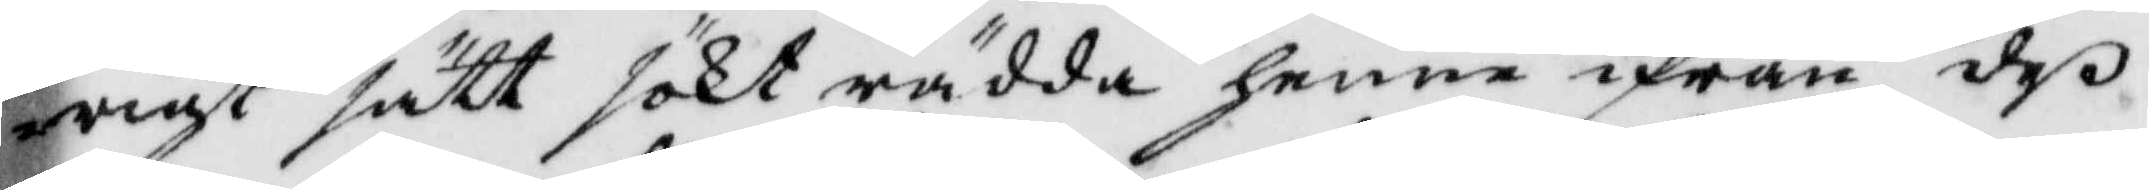rigt sätt sökt rädda henne ifrån deß
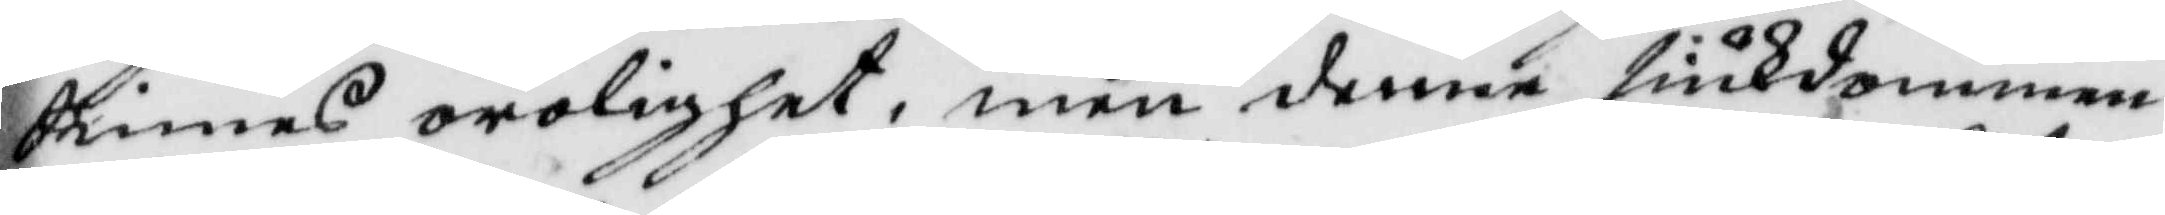sinnes orolighet, men denne siukdommen
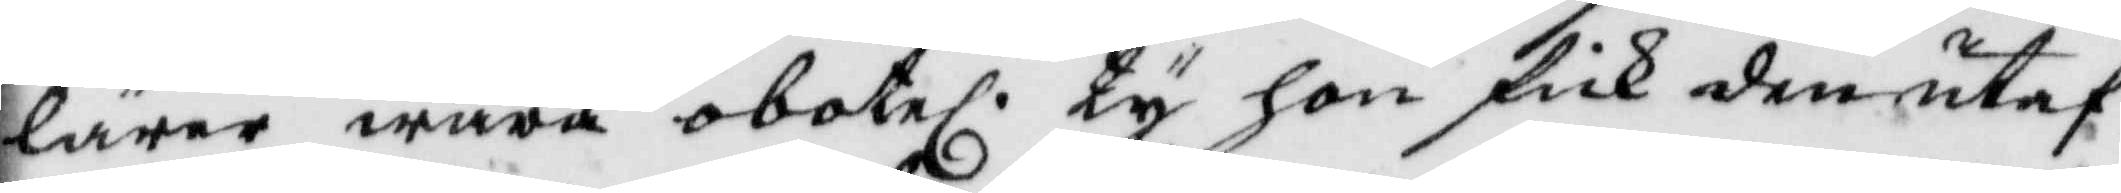lärer wara obotel. ty hon fick den utaf
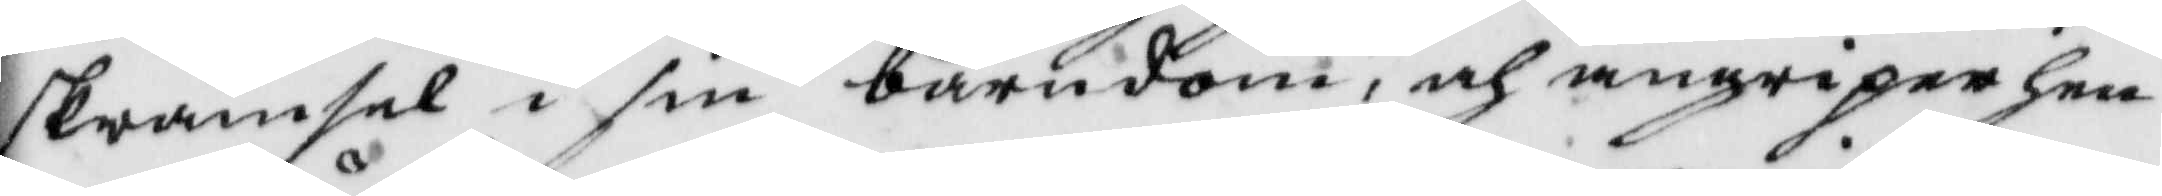skrämsel i sin barndom, och angriper hen¬
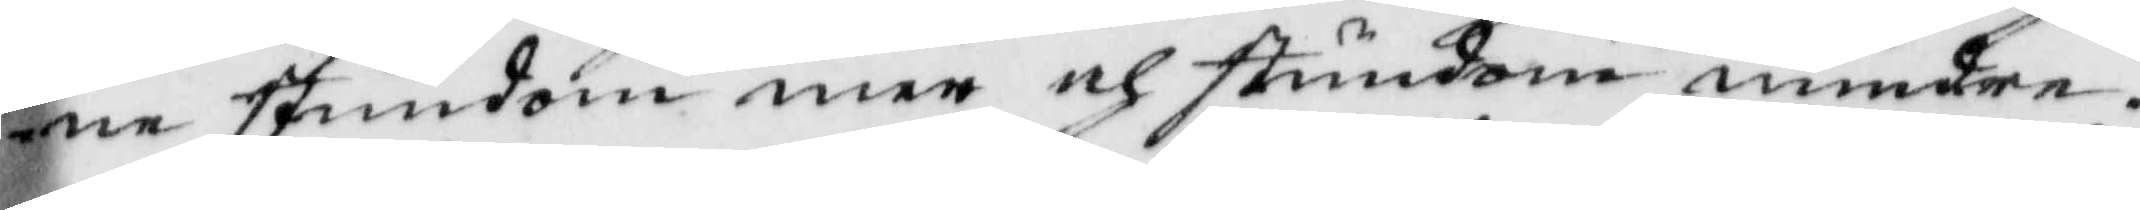ne stundom mer och stundom mindre.
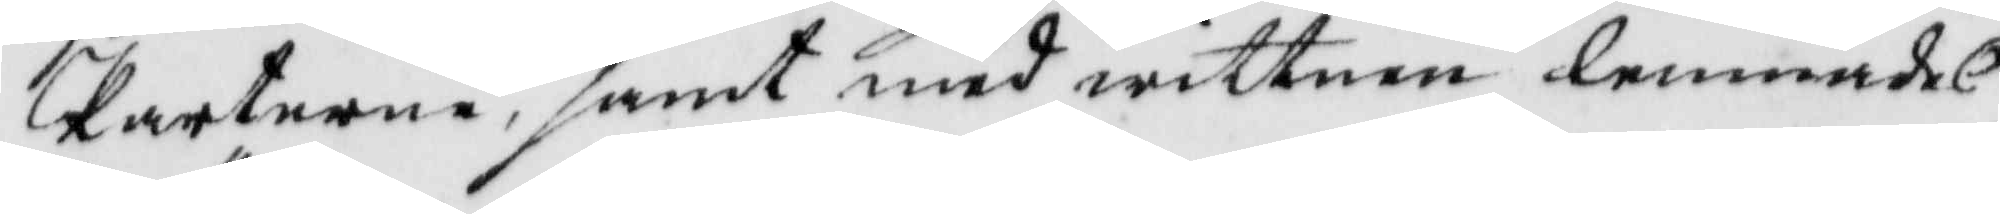Parterne, samt med wittnen lemnades
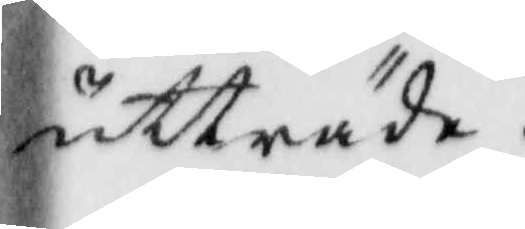utträde.
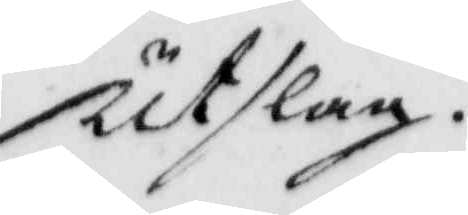utslag.
